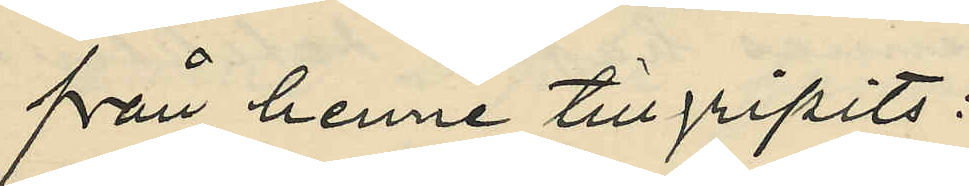från henne tillgripits:
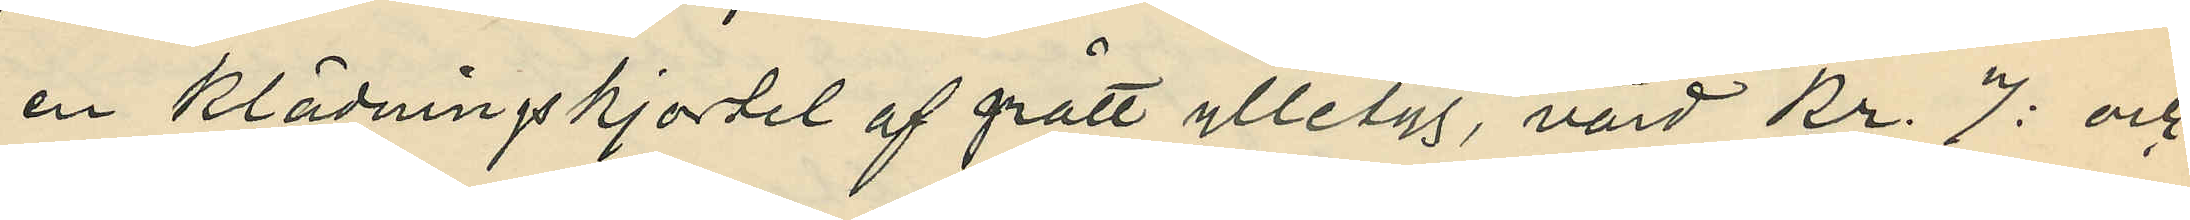en klädningskjortel af grått ylletyg, värd Kr. 7: och
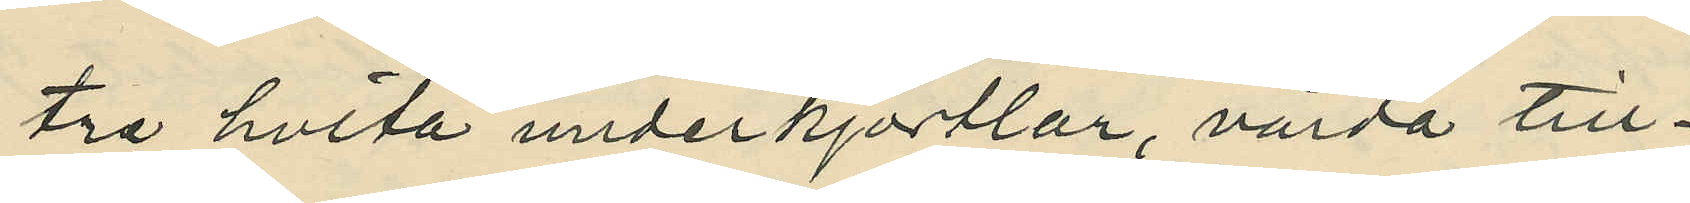tre hvita underkjortlar, värda till¬
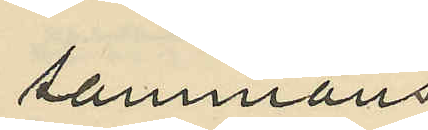sammans
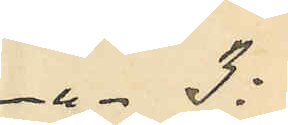3:
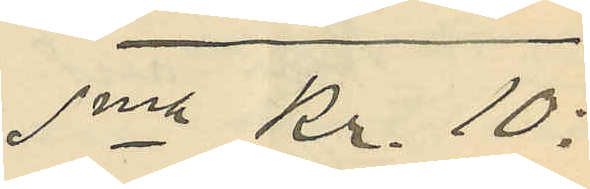Sma Kr. 10:
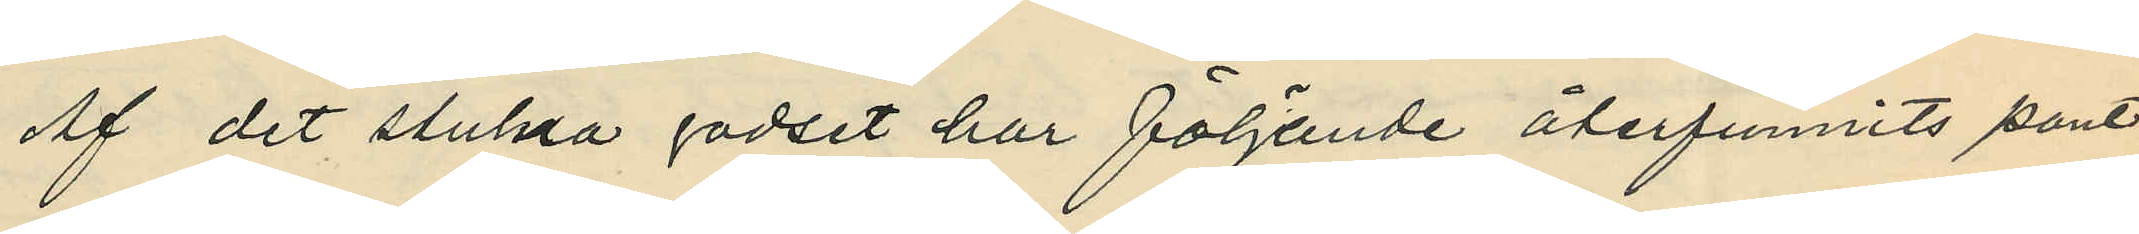Af det stulna godset har följande återfunnits pant¬
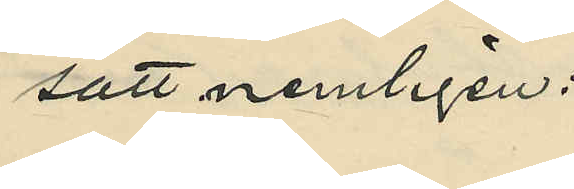satt nemligen:
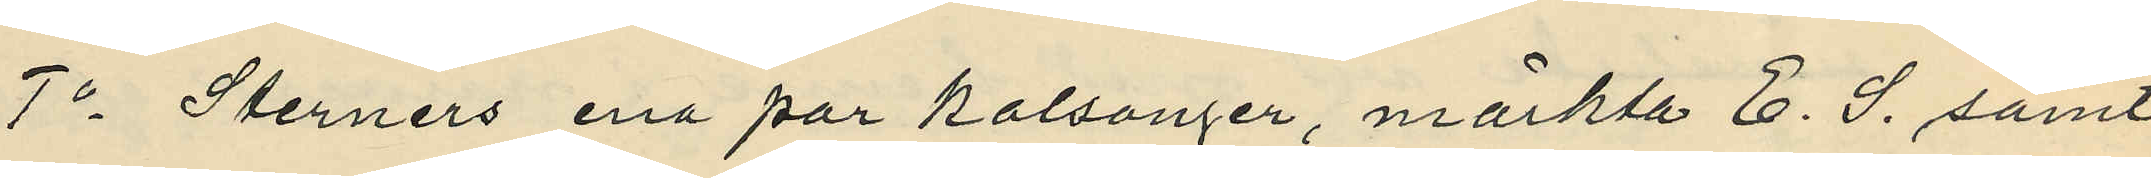1o Sterners ena par kalsonger, märkta E. S. samt
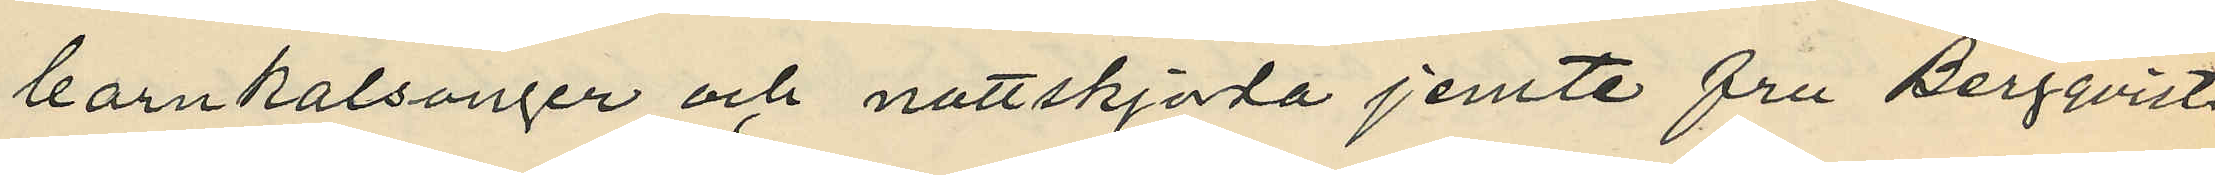barnkalsonger och nattskjorta jemte fru Bergqvists
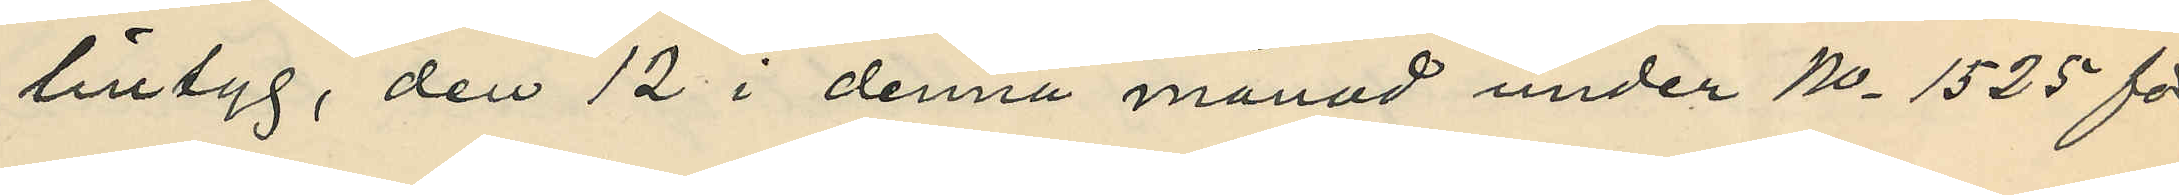lintyg, den 12 i denna månad under No 1525 för
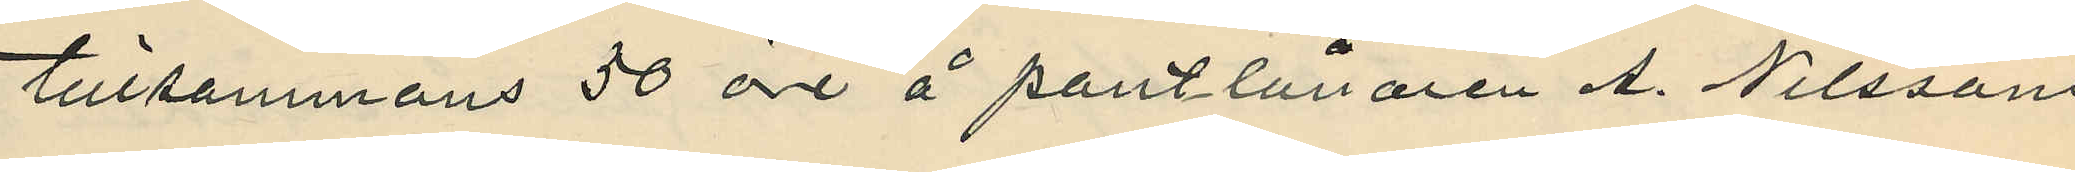tillsammans 50 öre å pantlånaren A. Nilssons
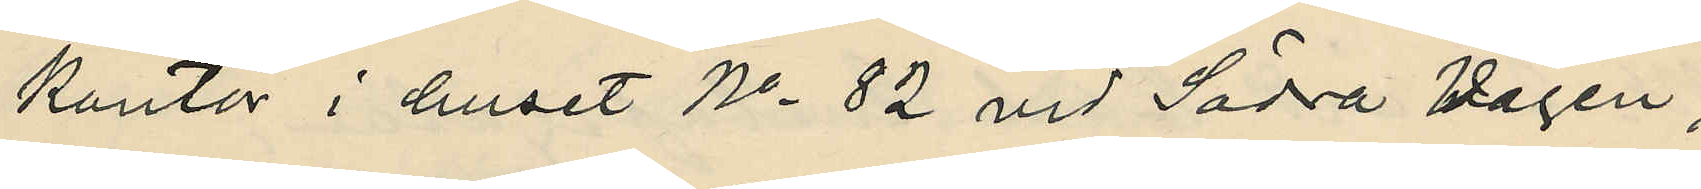kontor i huset No 82 vid Södra Vägen;
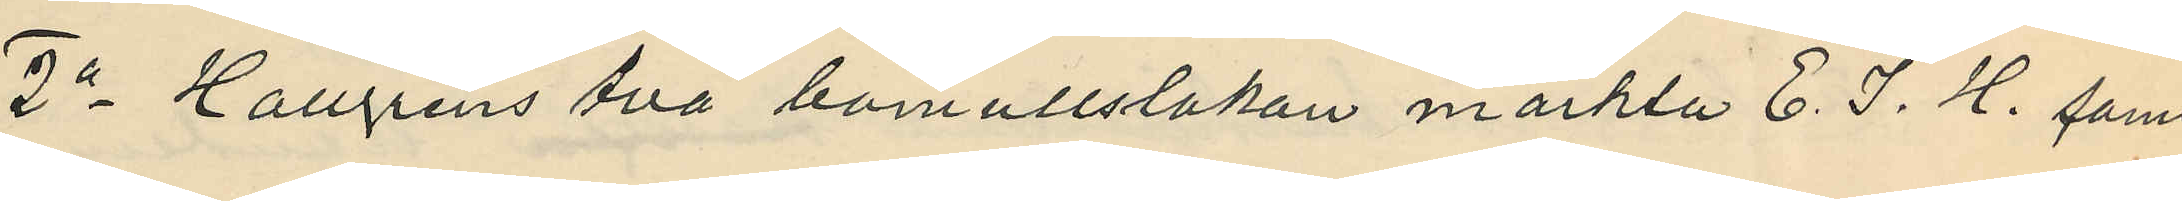2o Hallgrens två bomullslakan märkta E. J. H. samt
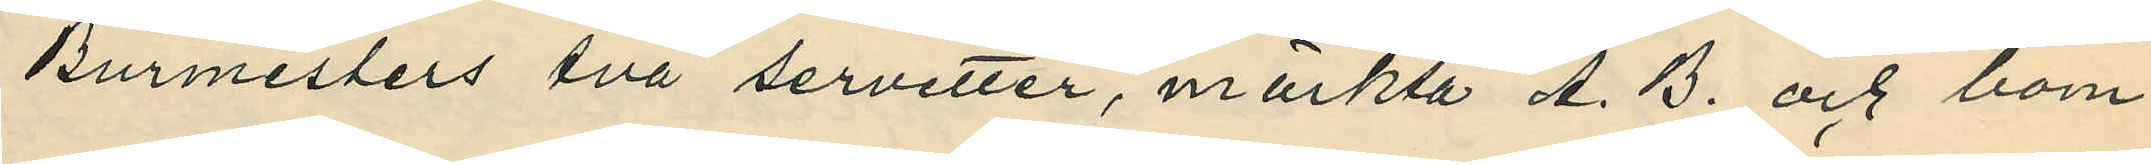Burmesters två servetter, märkta A. B. och bom¬
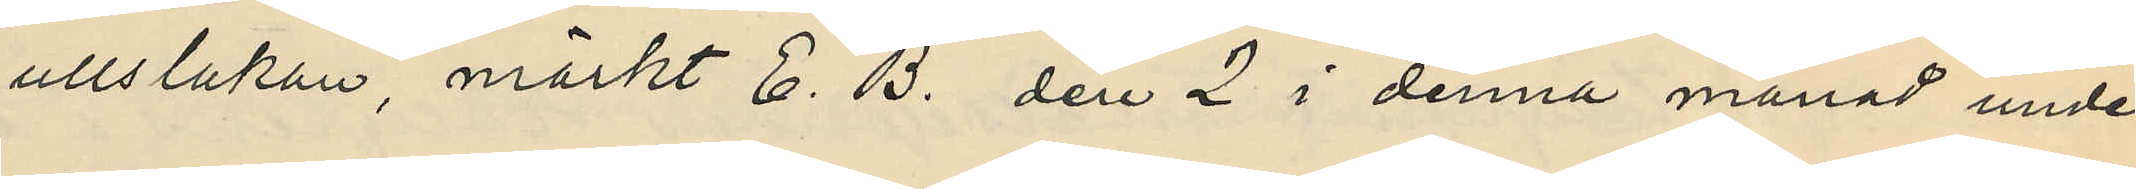ullslukan, märkt E. B. den 2 i denna månad under
